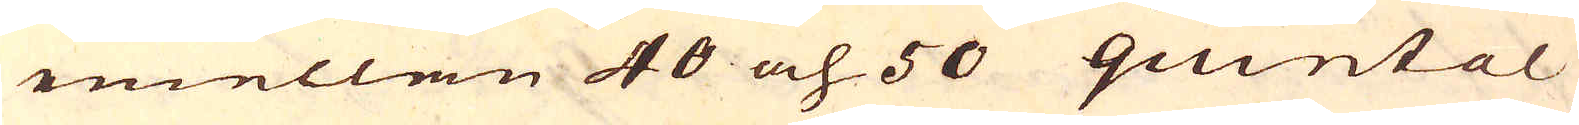emellen 40 och 50 quintal
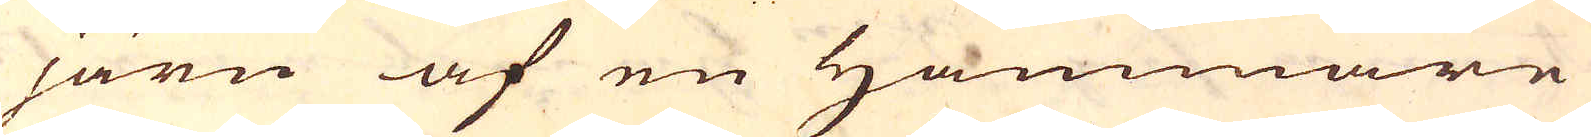järn af en Hammare
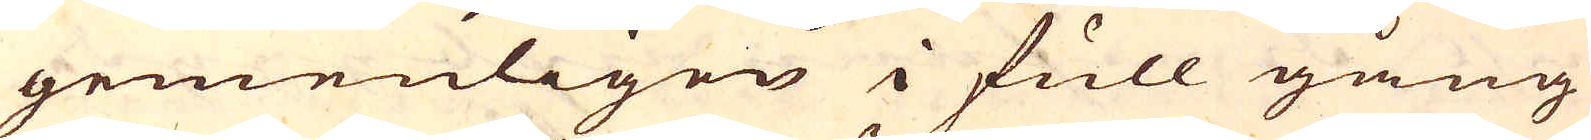gemenligen i full gång
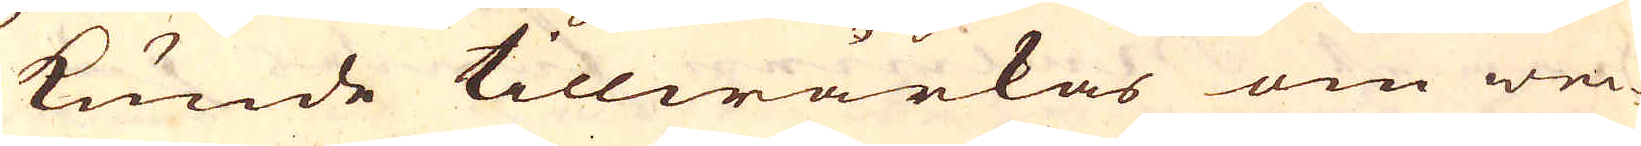kunde tillwärkas om wec-
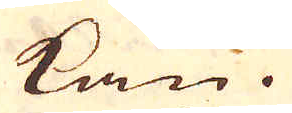kan.
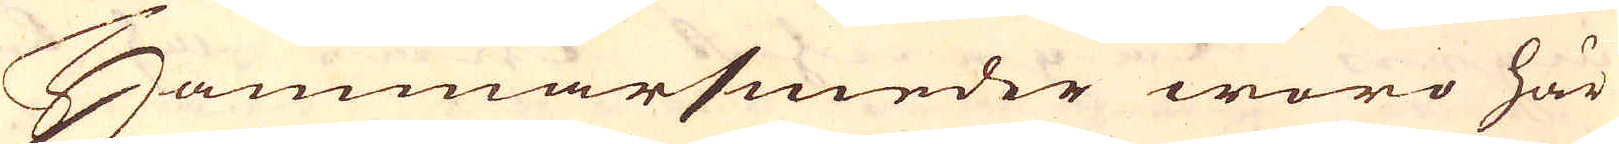Hammarsmeder woro här
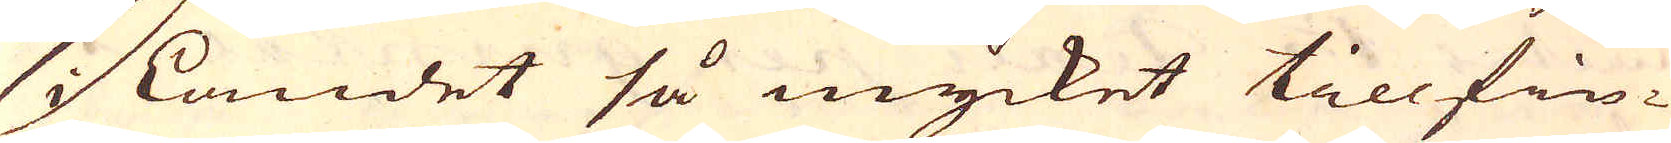i Landet så mycket tillfin-
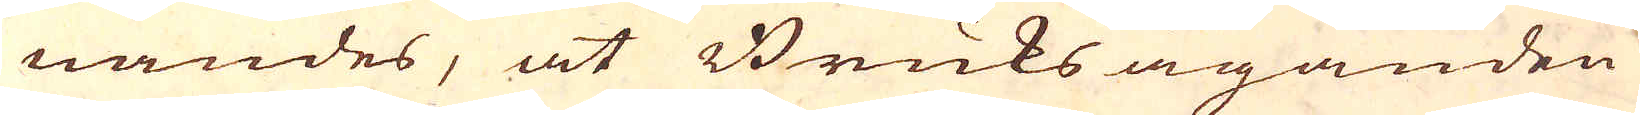nandes, at Bruksäganden
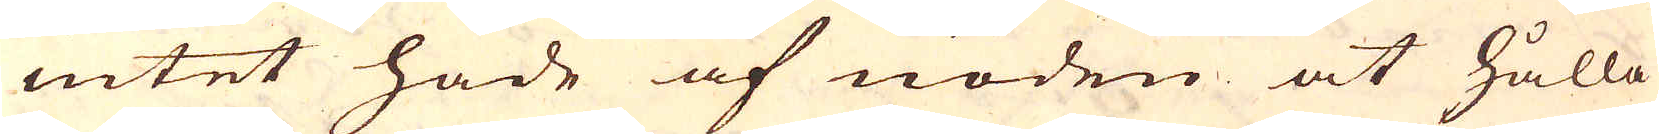intet hade af nöden at hålla
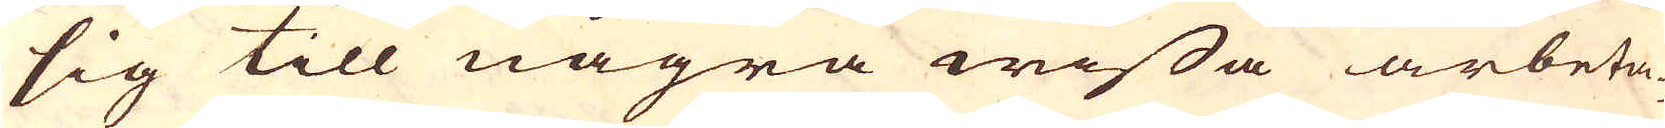sig till några wissa arbeta-
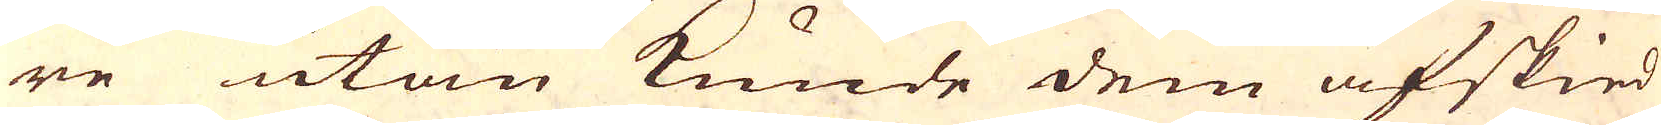re utan kunde dem afskied
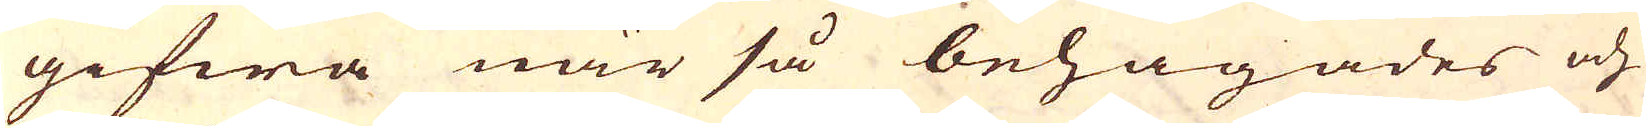gifwa när så behagades och
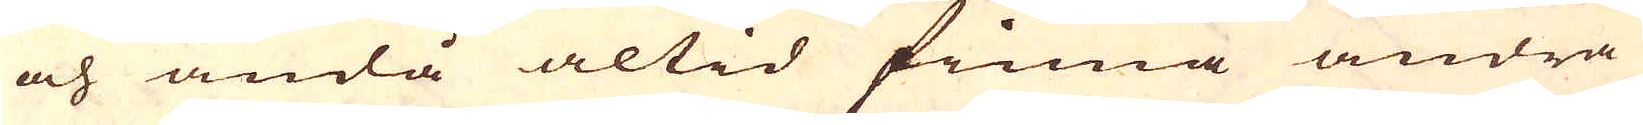och ändå altid finna andra
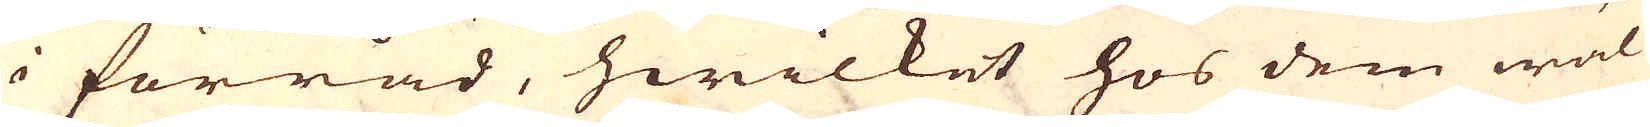i förråd, hwilket hos dem wäl
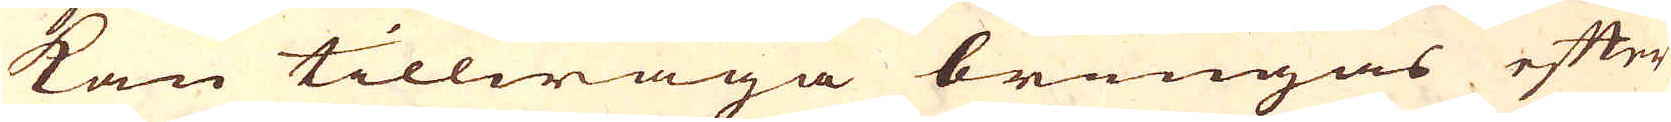kan tillwäga bringas efter
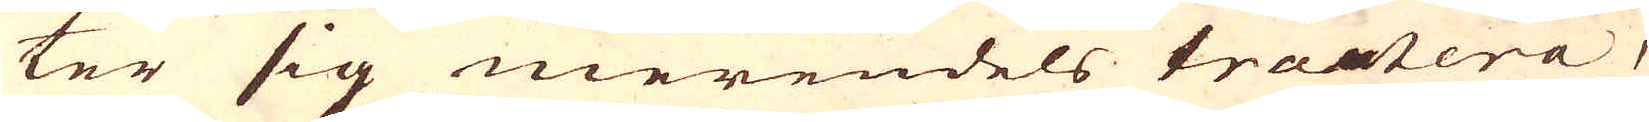ter sig merendels tractera,
